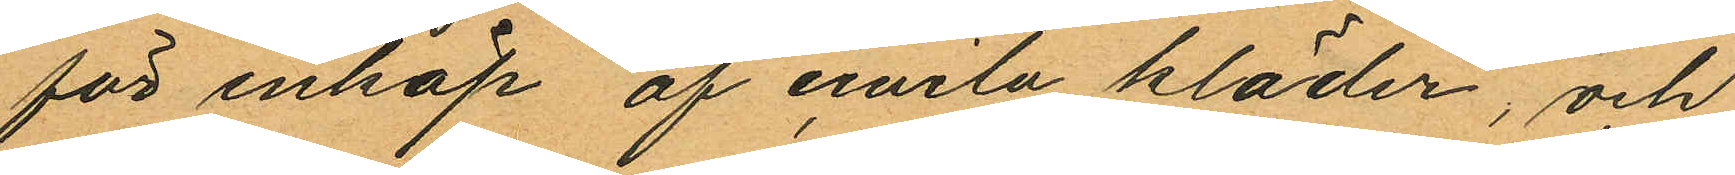för inköp af civila kläder, och
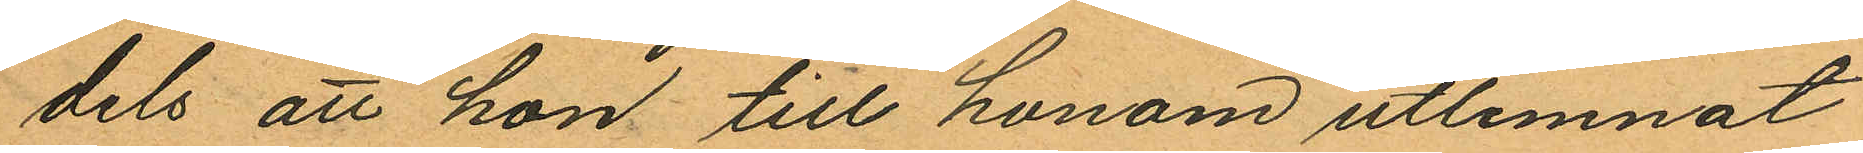dels att hon till honom utlemnat
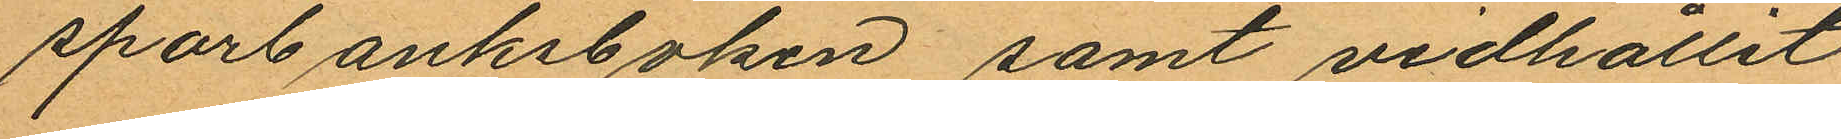sparbanksboken, samt vidhållit
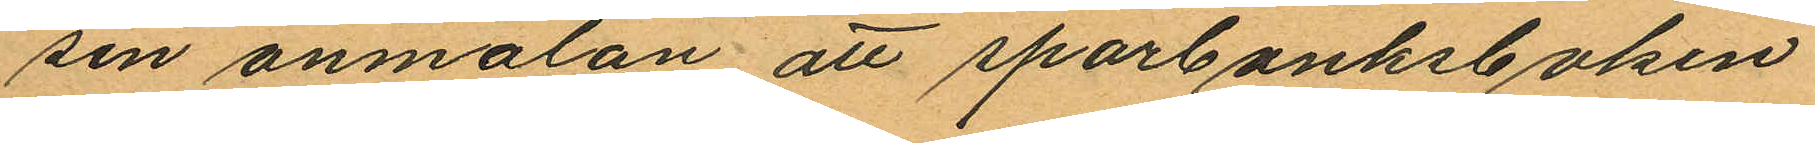sin anmälan att sparbanksboken
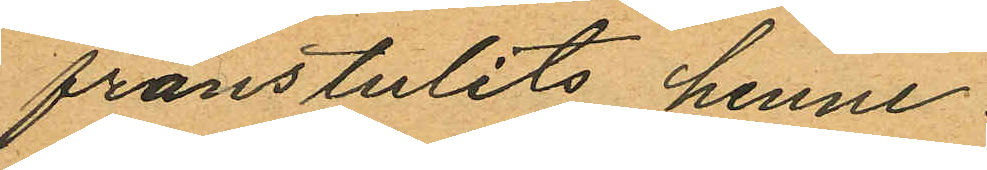frånstulits henne.
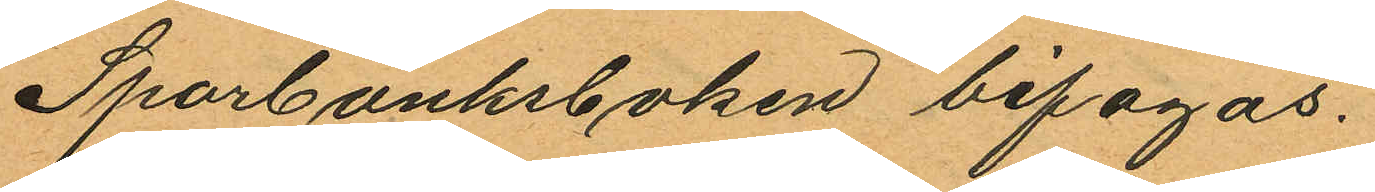Sparbanksboken bifogas.
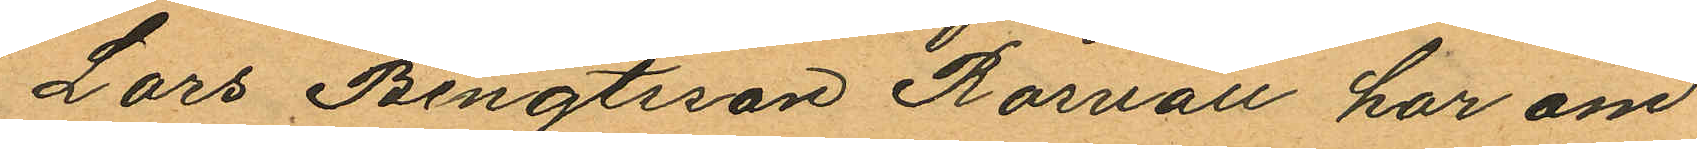Lars Bengtsson Rosvall har om
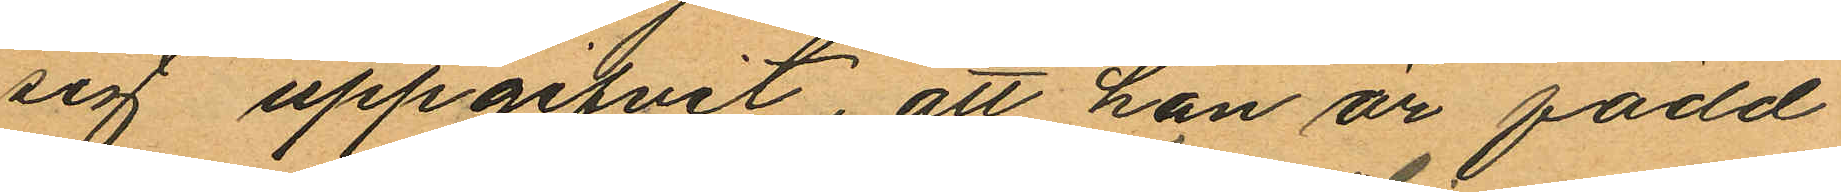sig uppgifvit, att han är född
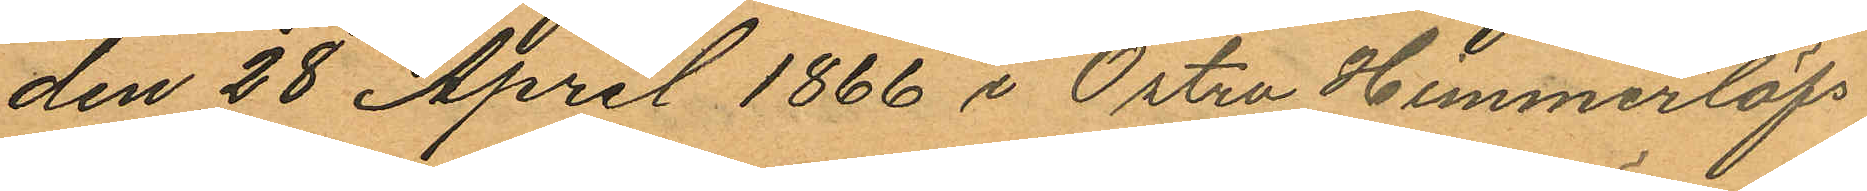den 28 April 1866 i Östra Himmerlöfs
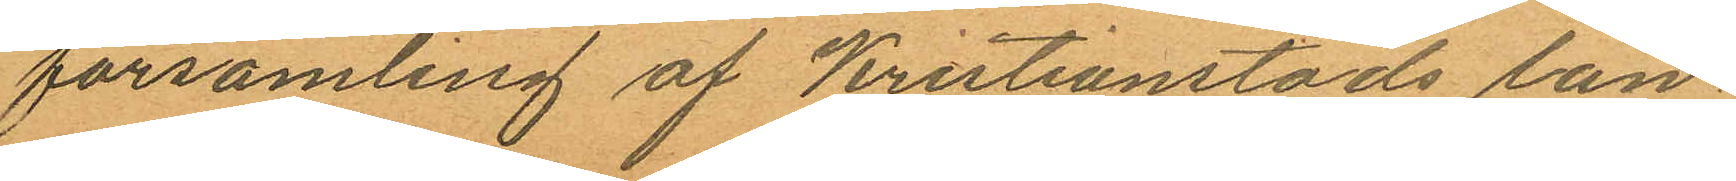församling af Kristianstads län,
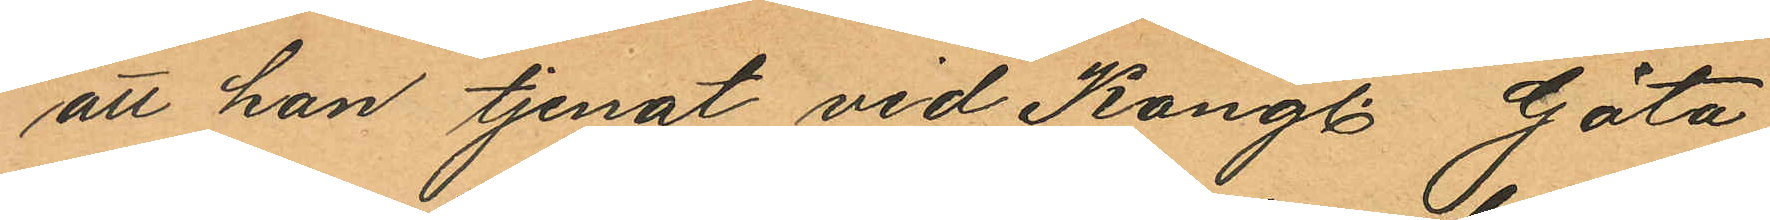att han tjenat vid Kongl. Göta
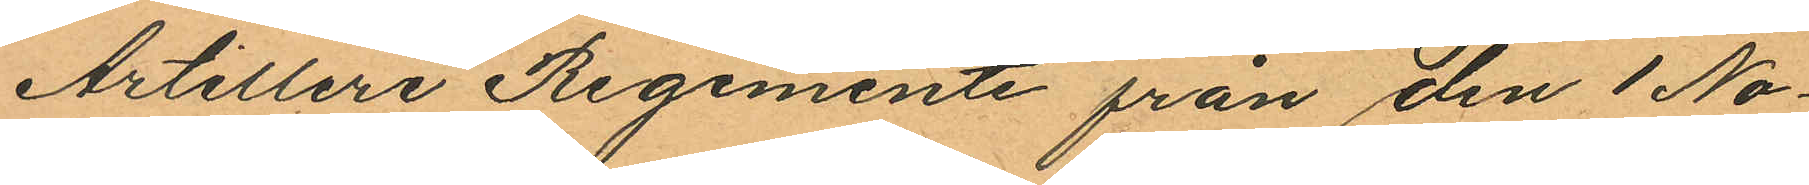Artilleri Regemente från den 1 No¬
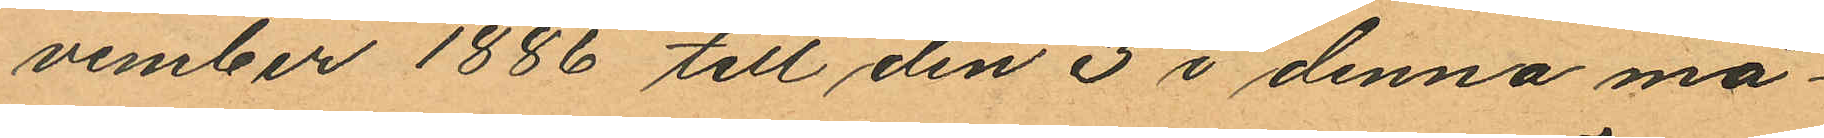vember 1886 till den 3 i denna må¬
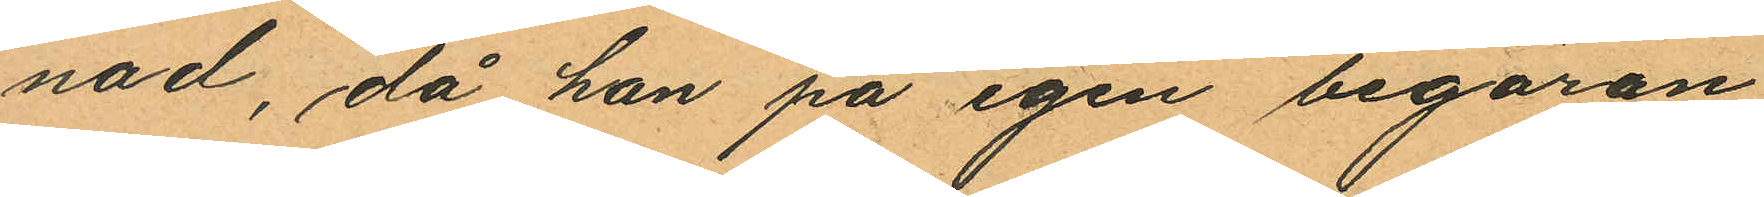nad, då han på egen begäran
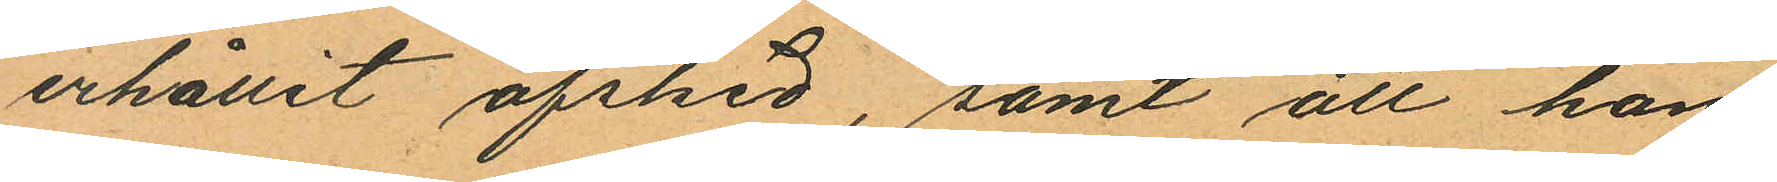erhållit afsked, samt att han
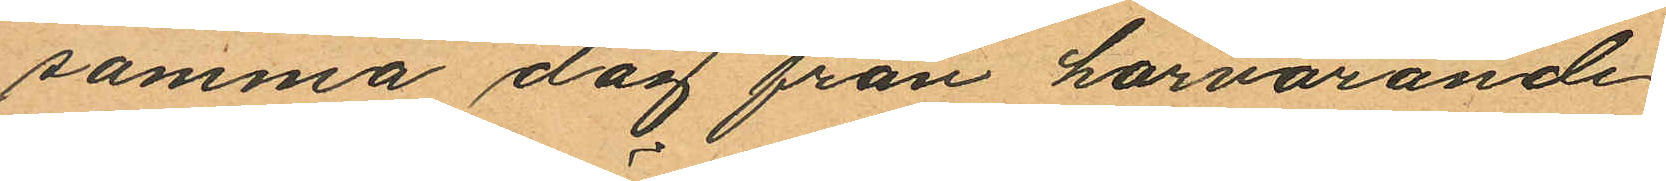samma dag från härvarande
